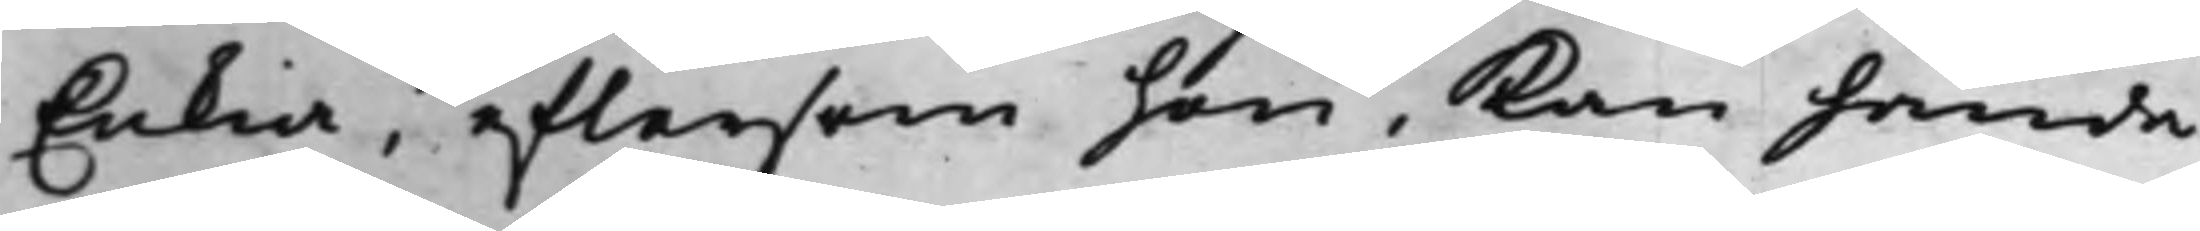Enkia, eftersom hon, kan hända,
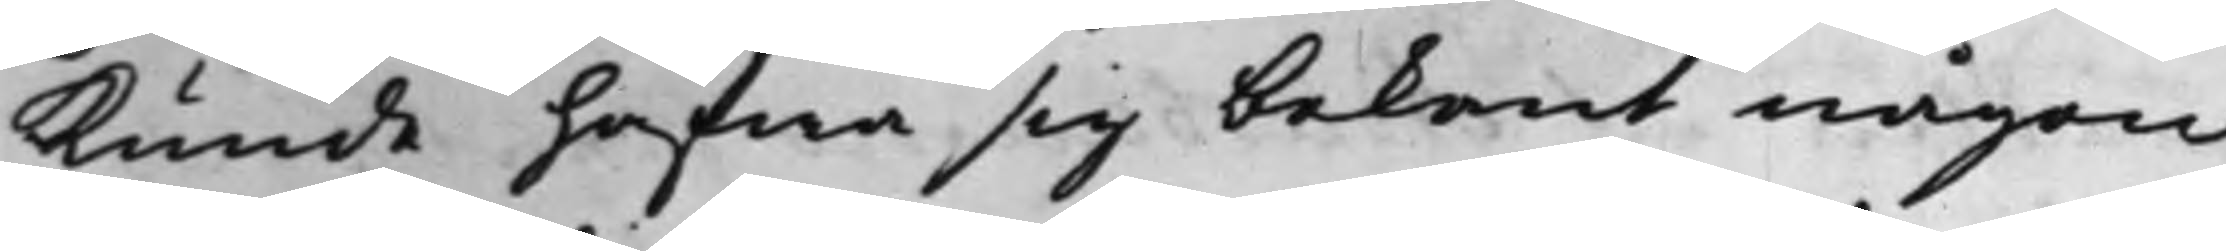kunde hafwa sig bekant någon
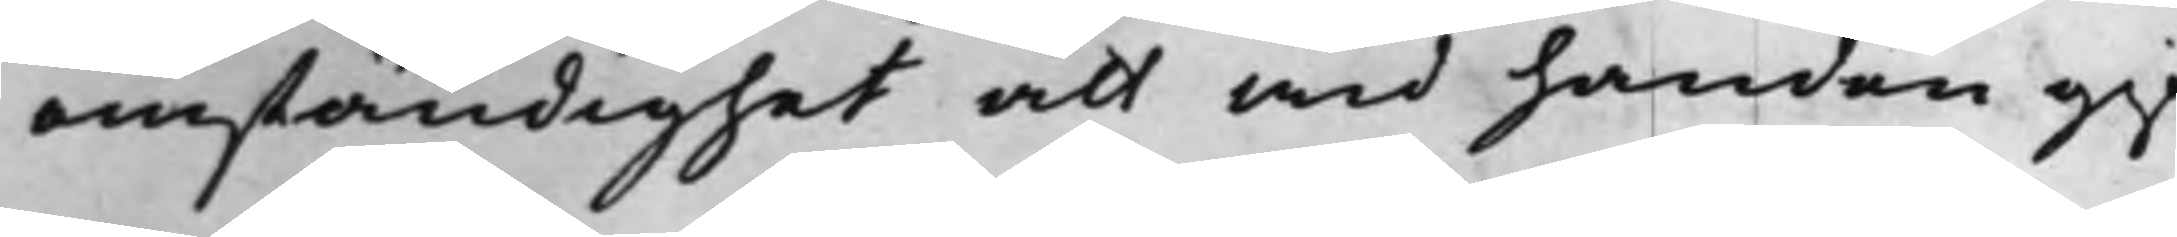omständighet att wid handen gif¬
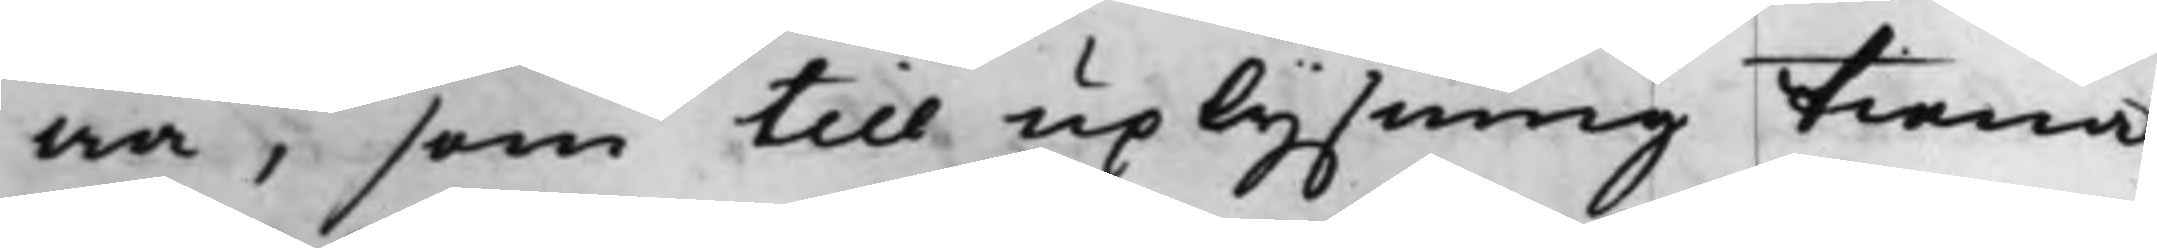wa, som till uplysning tiena
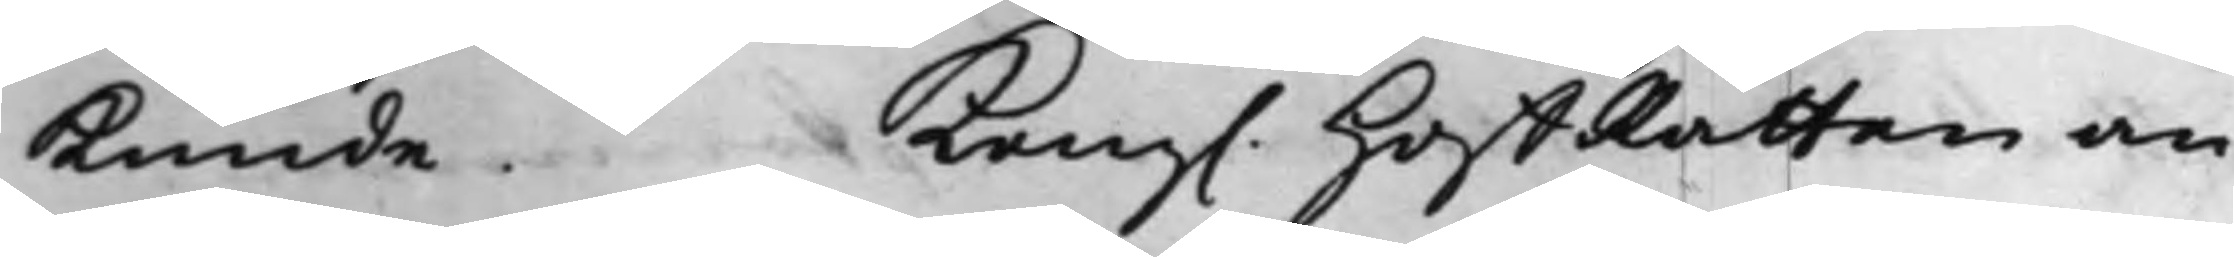kunde. Kong. HoffRätten an¬
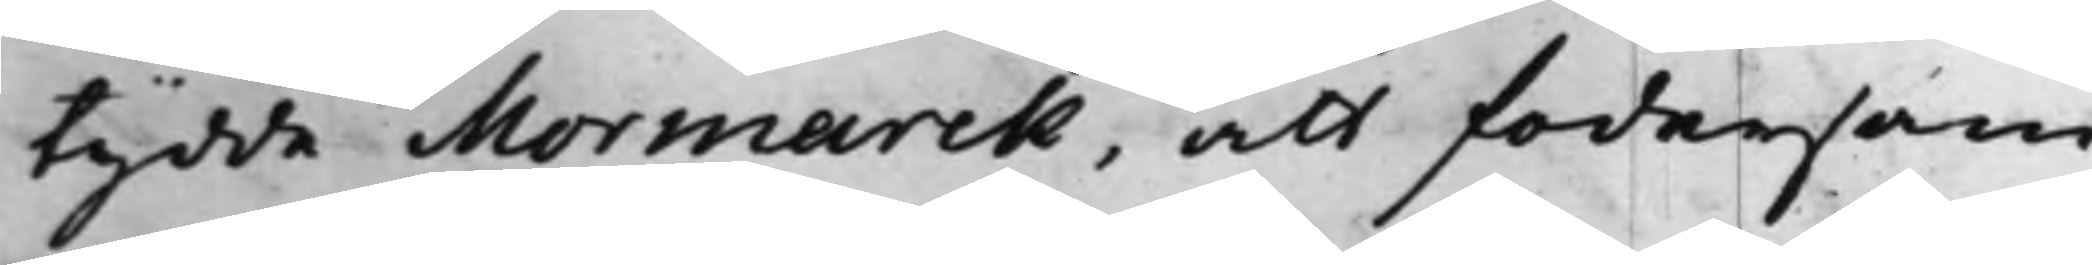tydde Mormarck, att fodersam¬
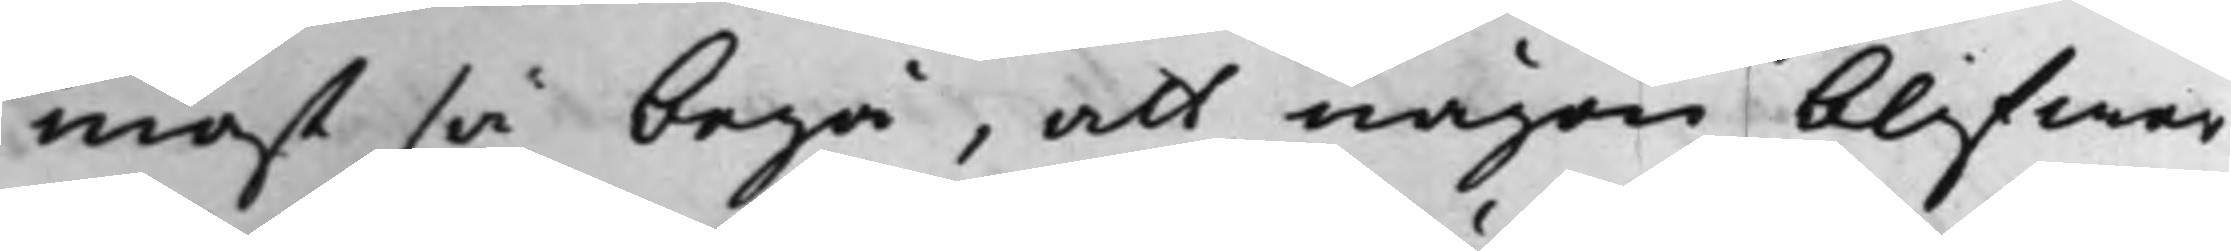mast så begå, att någon blifwer
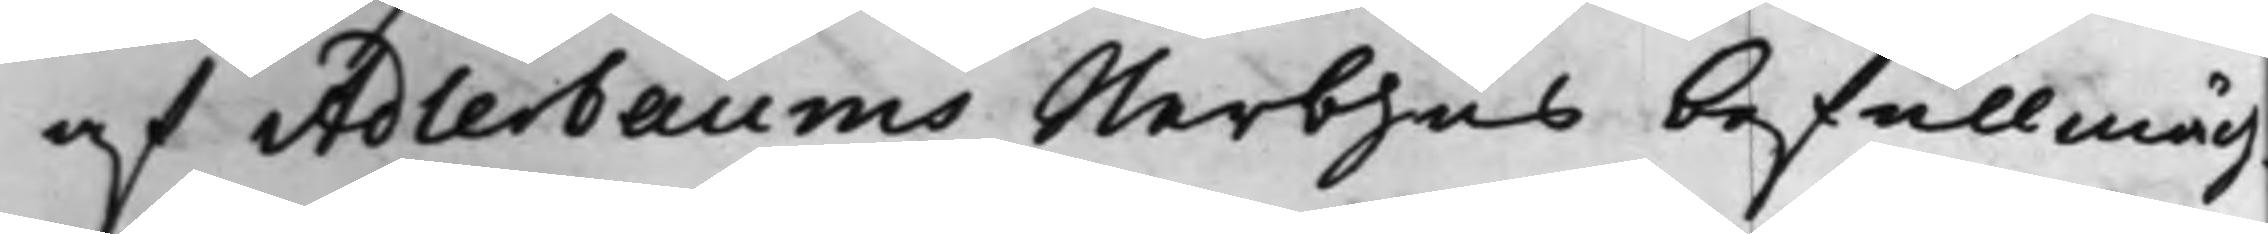af Adlerbaums Sterbhus befullmäch¬
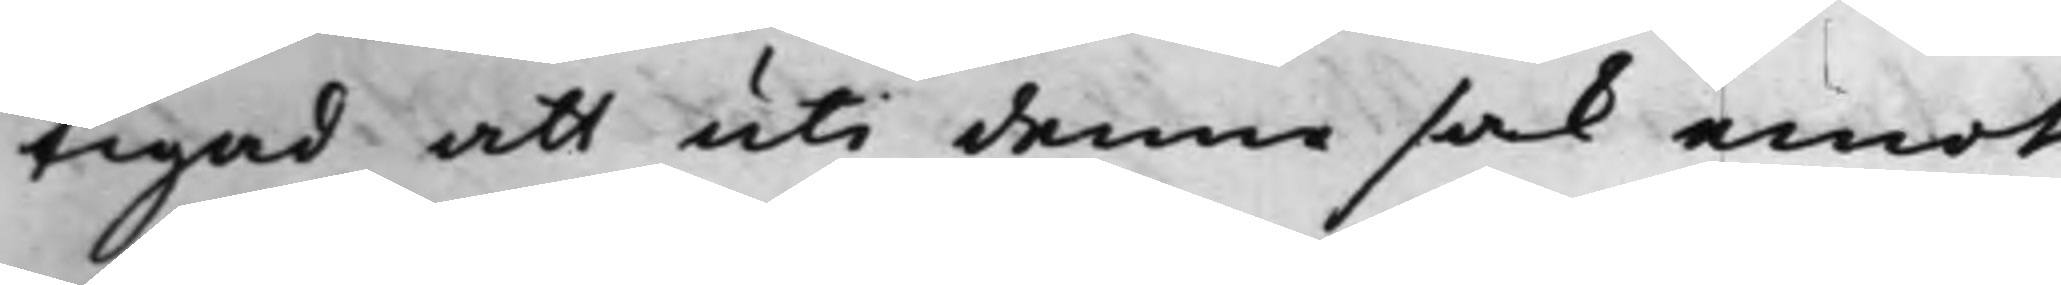tigad att uti denna sak emot
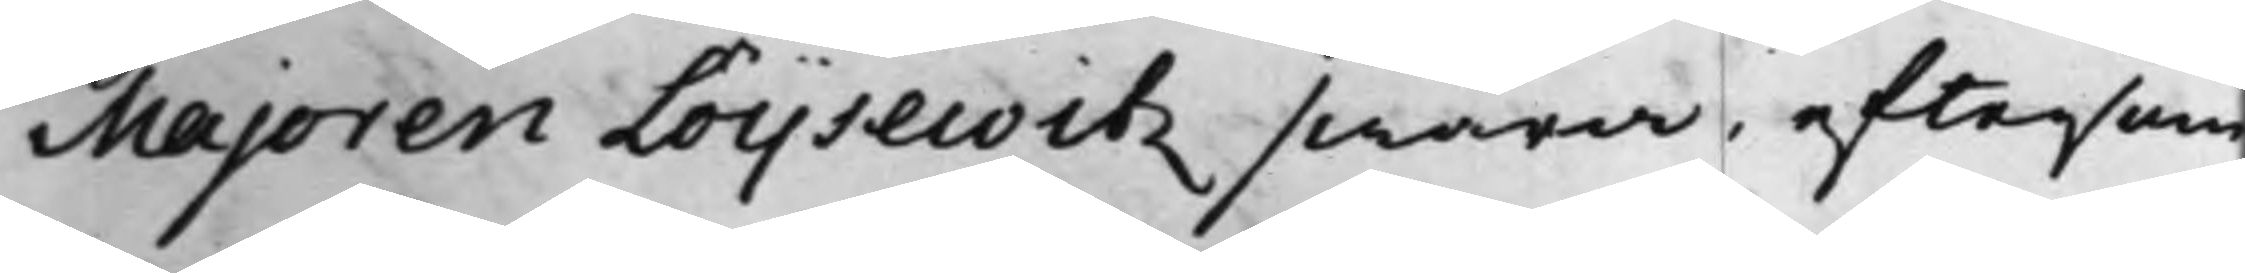Majoren Löijsewitz swara, eftersom
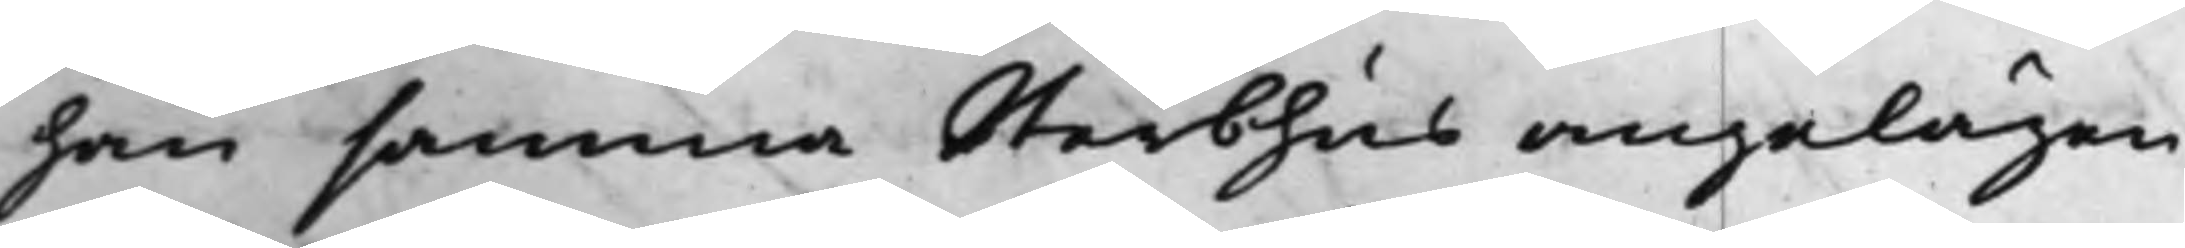han samma Sterbhus angelägen¬
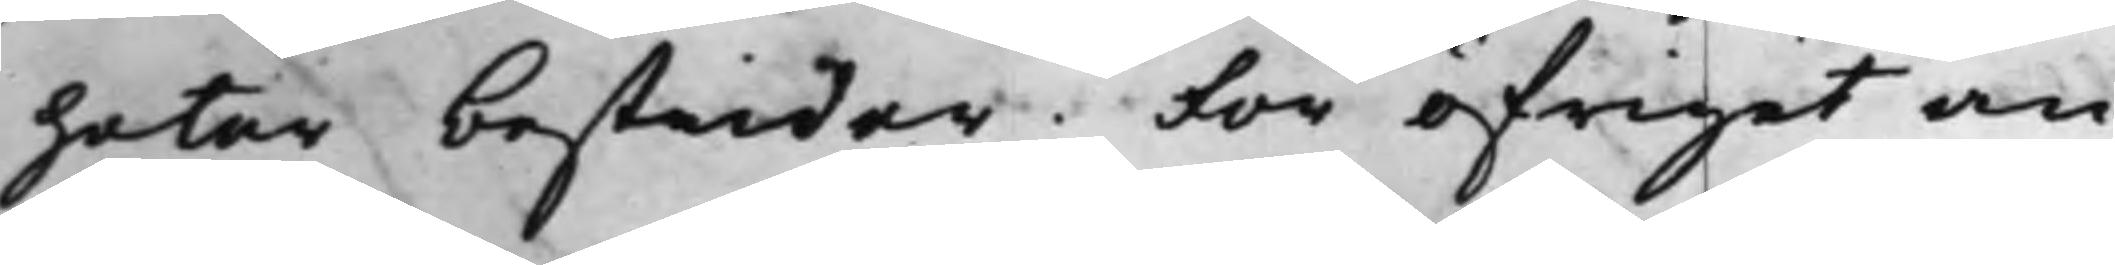heter bestrider. För öfrigit an¬
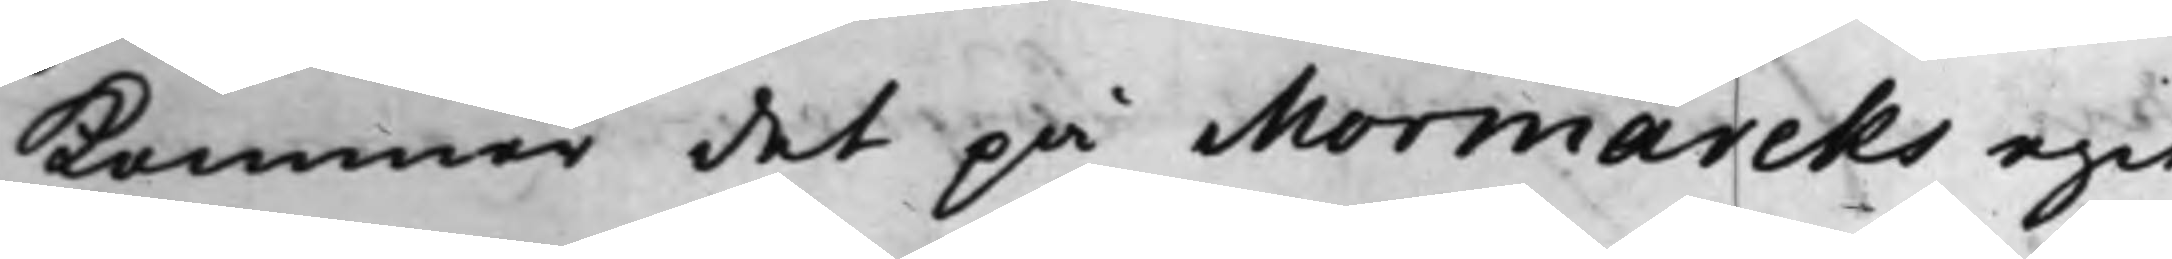kommer det på Mormarcks egit
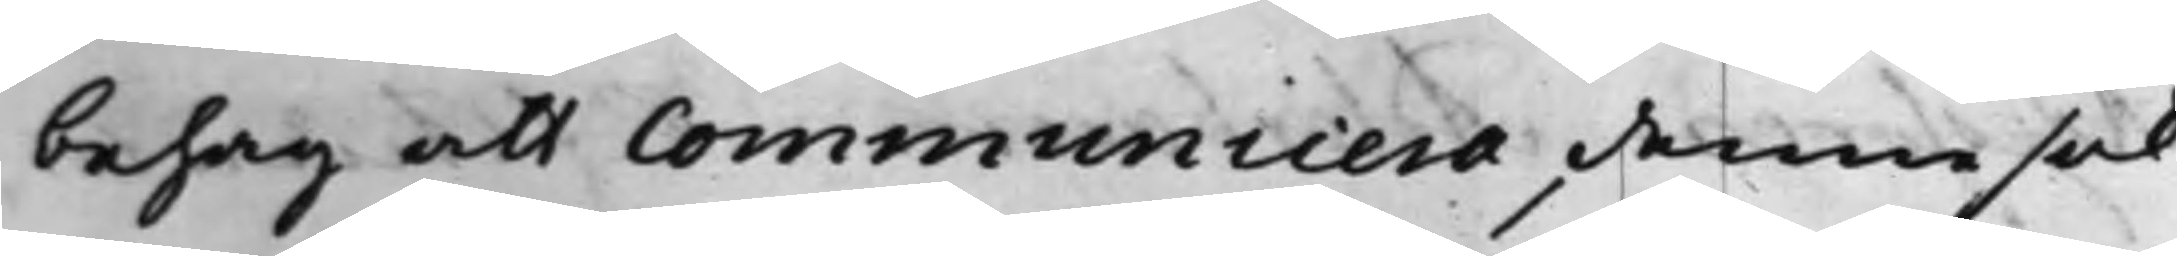behag att Communicera denne sak
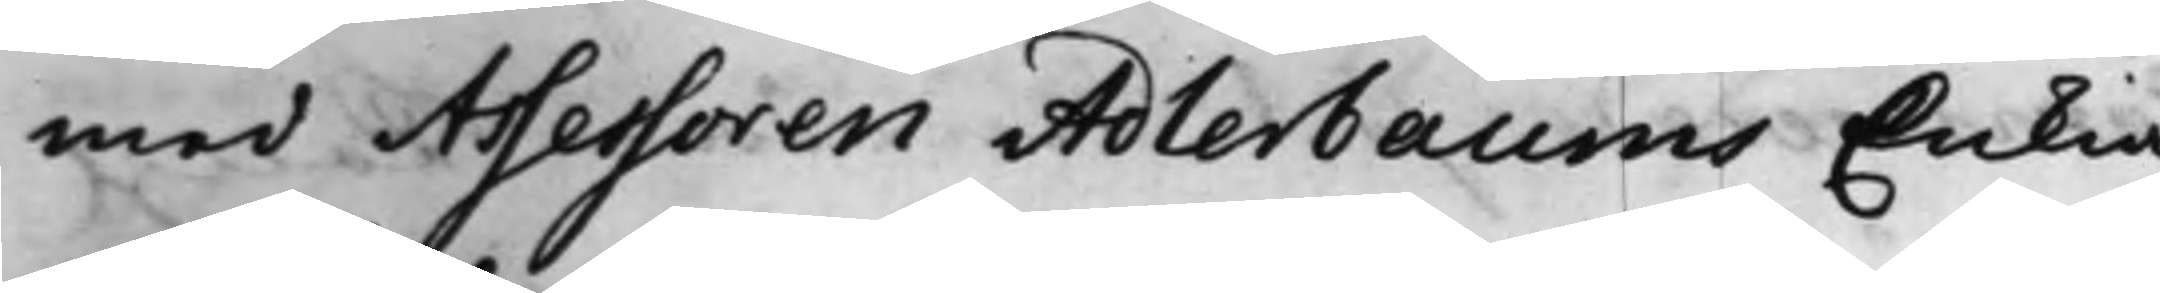med Assessoren Adlerbaums Enkia.
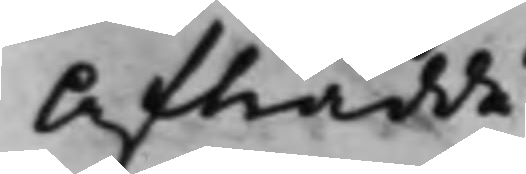Afträdde.
